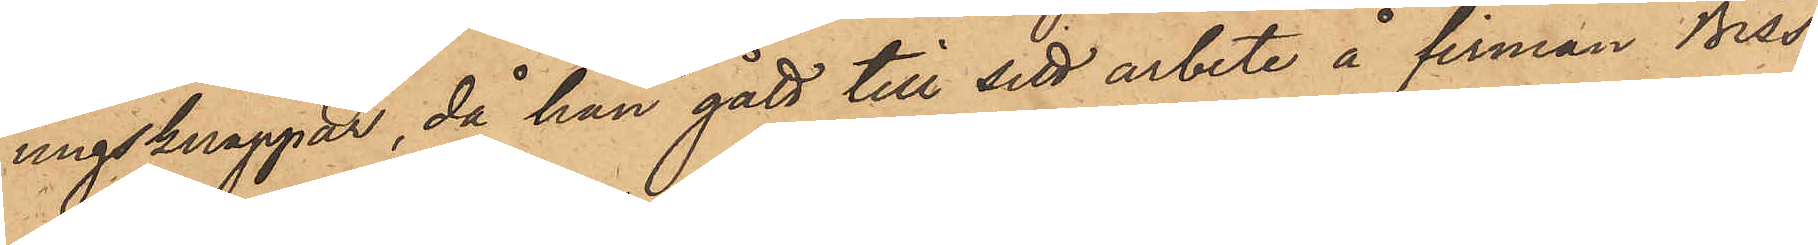ugnsknappar, då han gått till sitt arbete å firman Biss¬
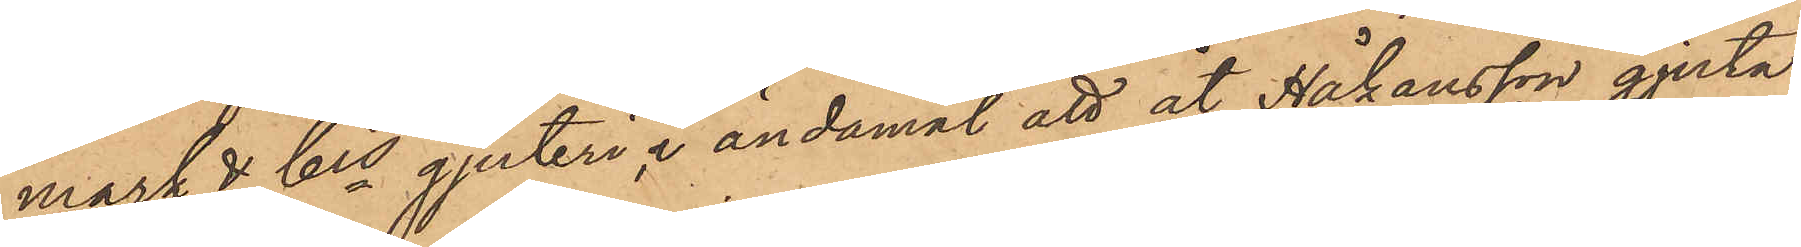mark & Cos gjuteri, i ändamål att åt Håkansson gjuta
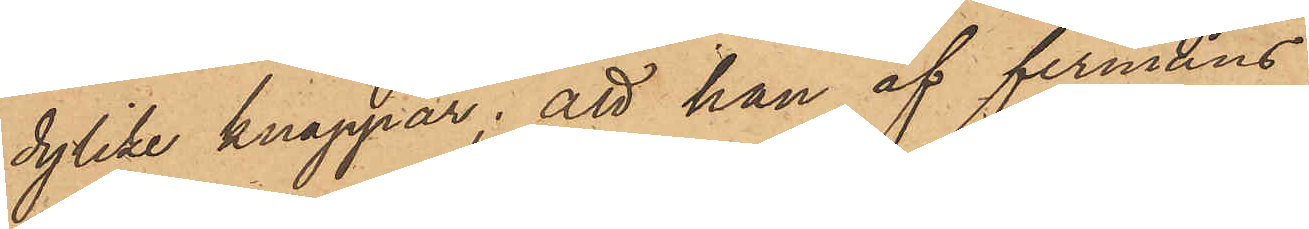dylike knappar; att han af firmans
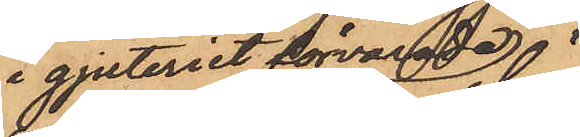i gjuteriet förvarade
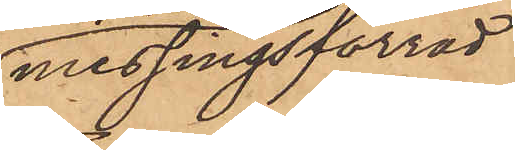messingsförråd
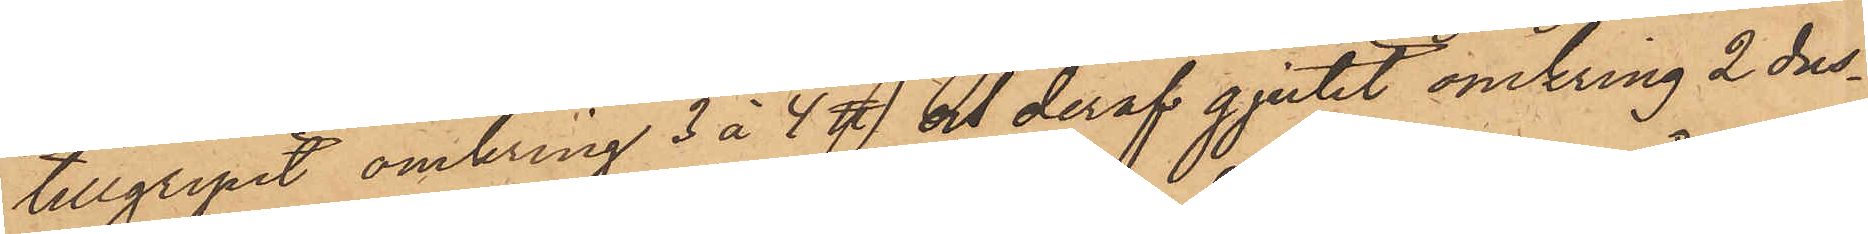tillgripit omkring 3 à 4 ℔ och deraf gjutit omkring 2 dus¬
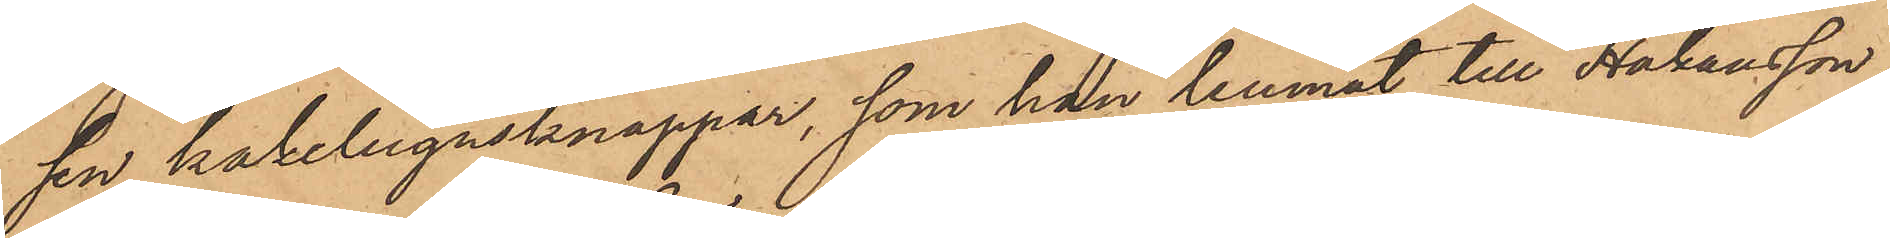sin kakelugnsknappar, som han lemnat till Håkansson;
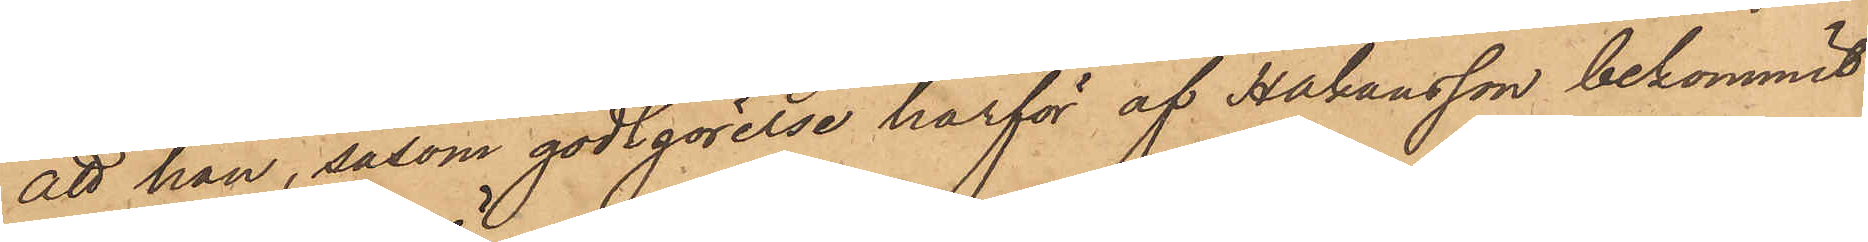att han, såsom godtgörelse härför af Håkansson bekommit
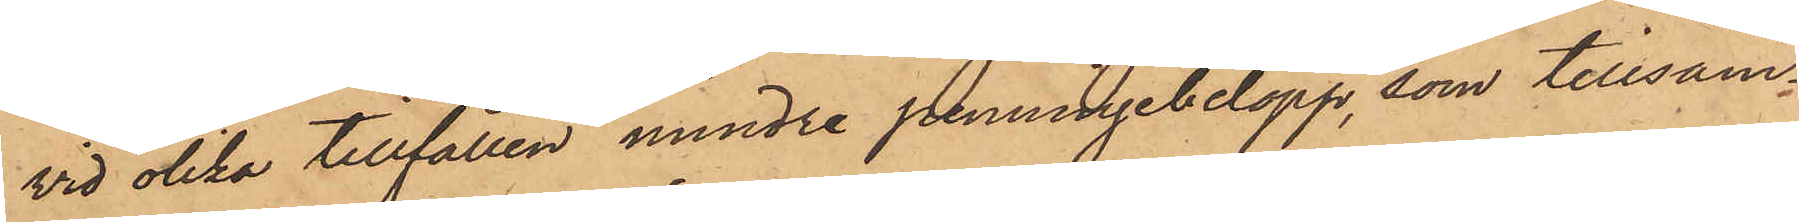vid olika tillfällen mindre penningebelopp, som tillsam¬
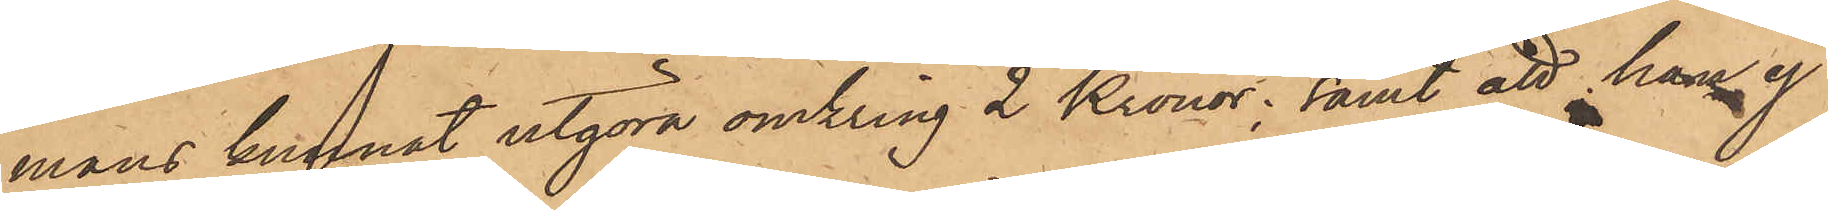mans kunnat utgöra omkring 2 Kronor; samt att hans ej
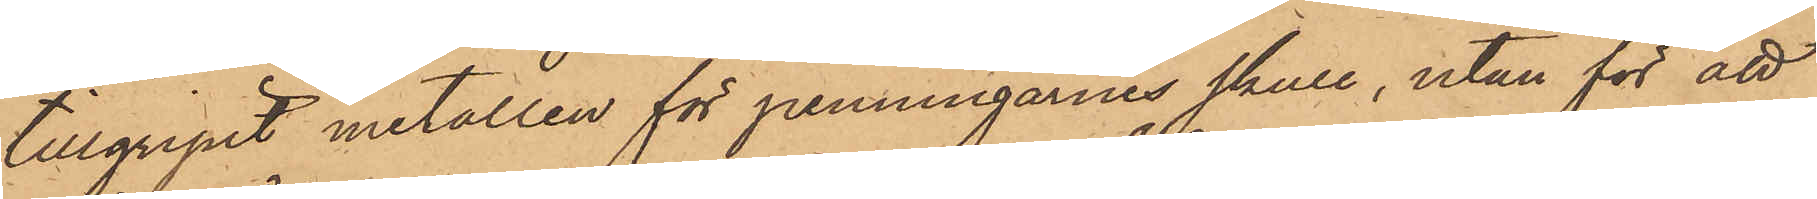tillgripit metallen för penningarnes skull, utan för att
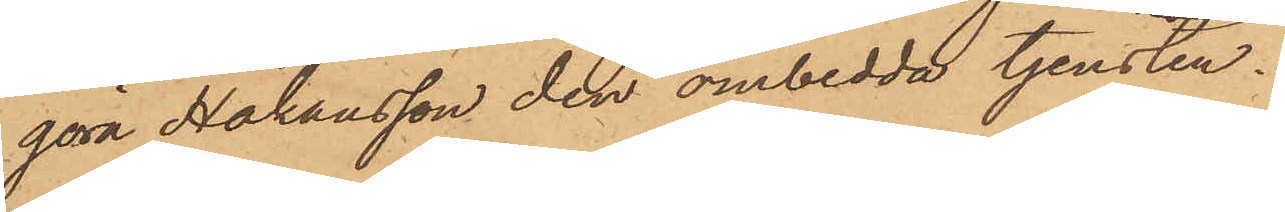göra Håkansson den ombedda tjensten.
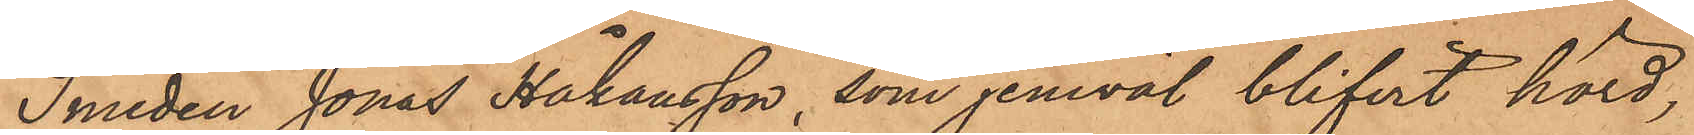Smeden Jonas Håkansson, som jemväl blifvit hörd,
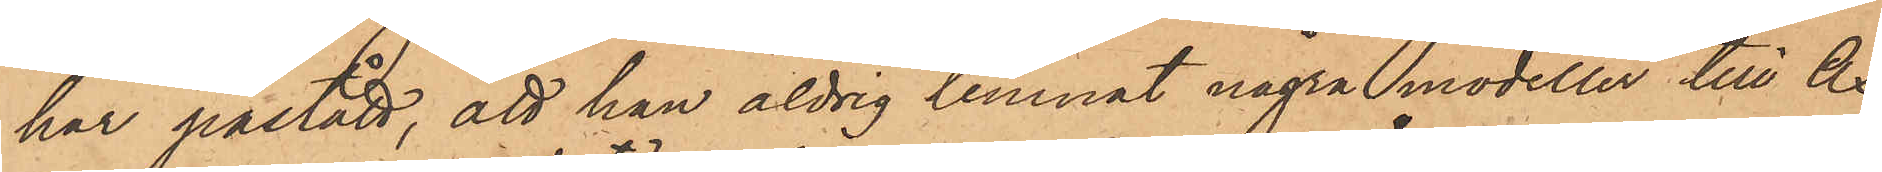har påstått, att han aldrig lemnat några modeller till Ax,
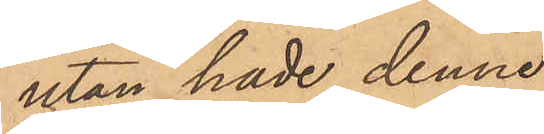utan hade denne
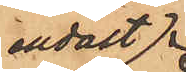endast 
